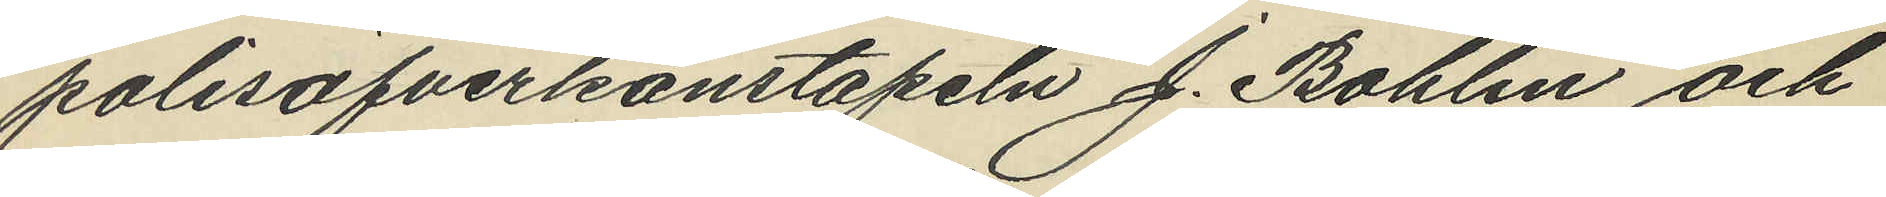polisöfverkonstapeln J. Bohlin och
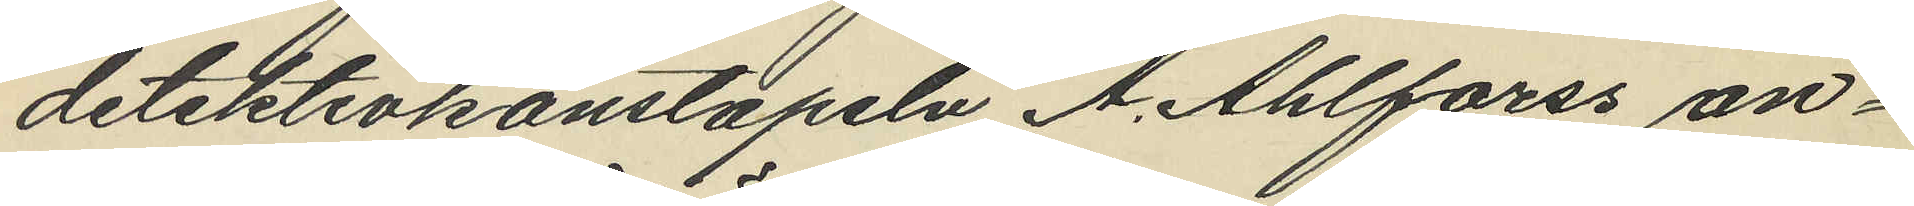detektivkonstapeln A. Ahlforss an¬
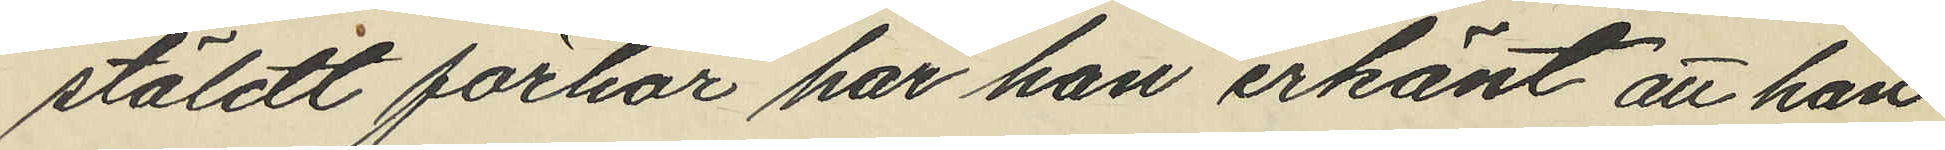stäldt förhör har han erkänt att han
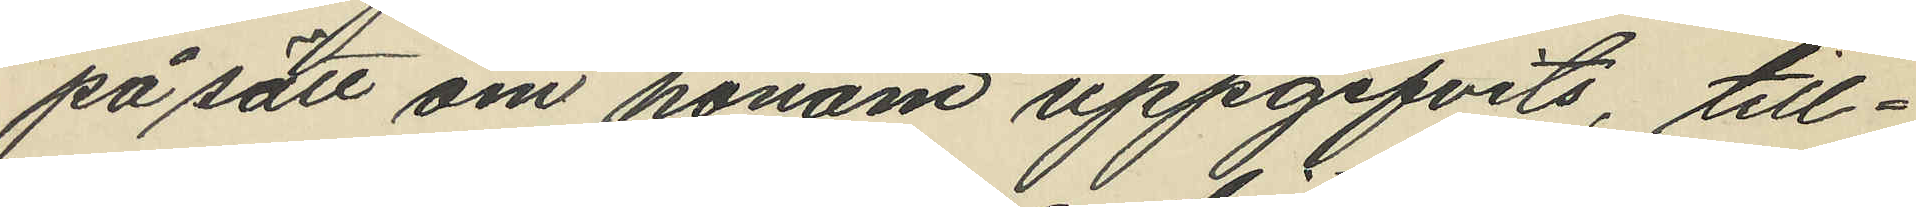på sätt om honom uppgifvits, till¬
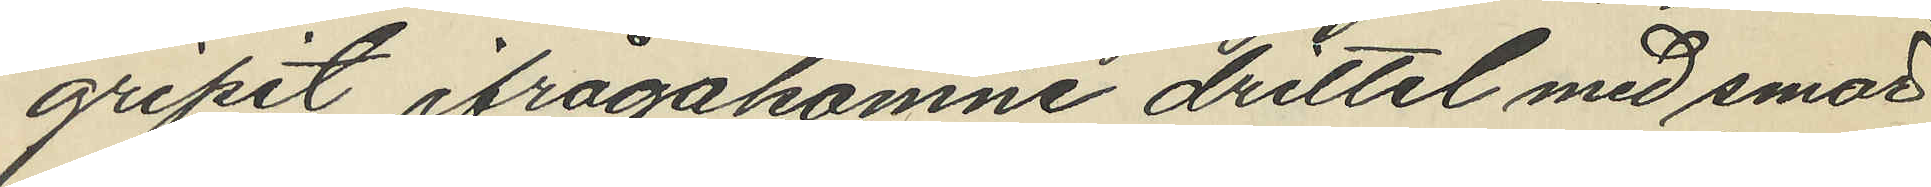gripit ifrågakomne drittel med smör
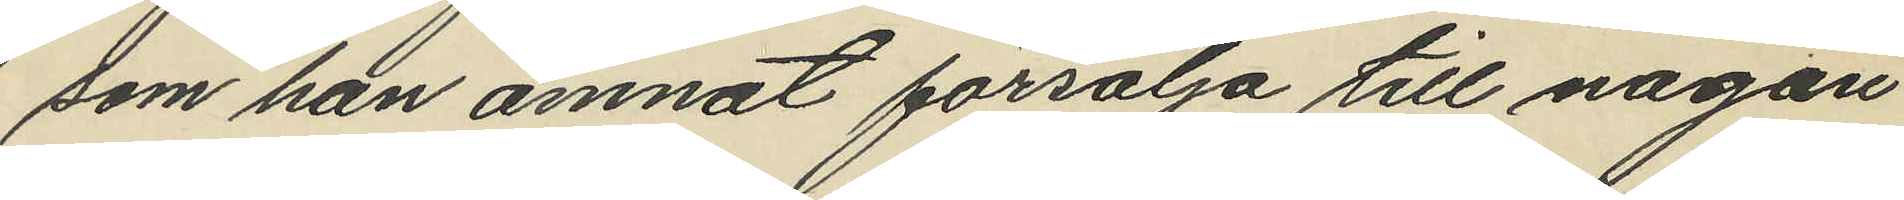som han ämnat försälja till någon
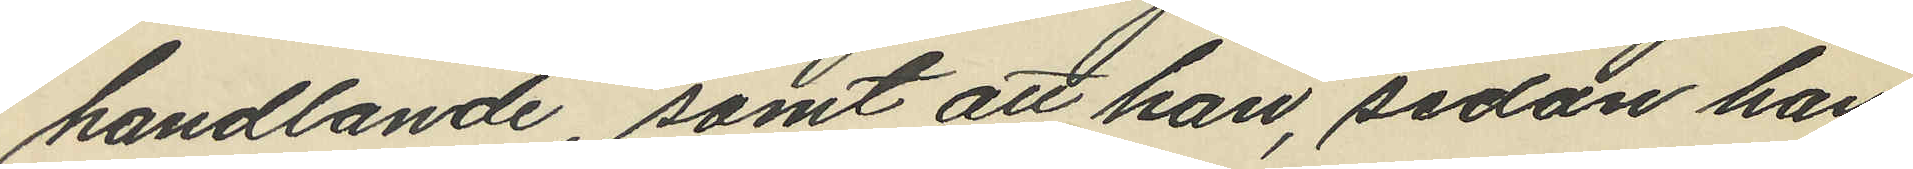handlande, samt att han, sedan han
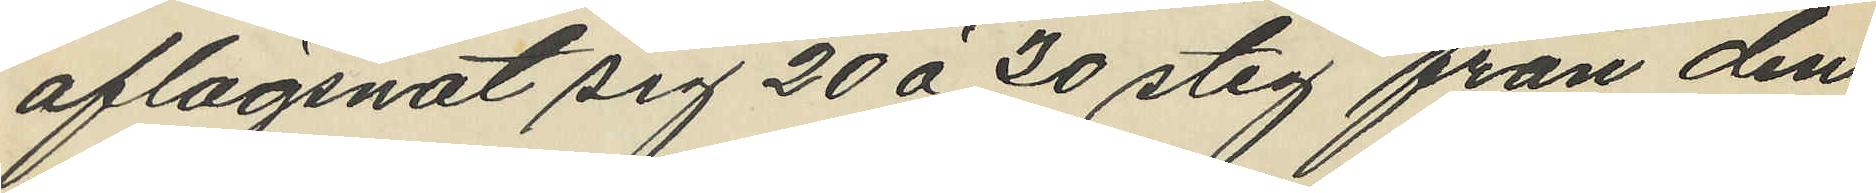aflägsnat sig 20 á 30 steg från den
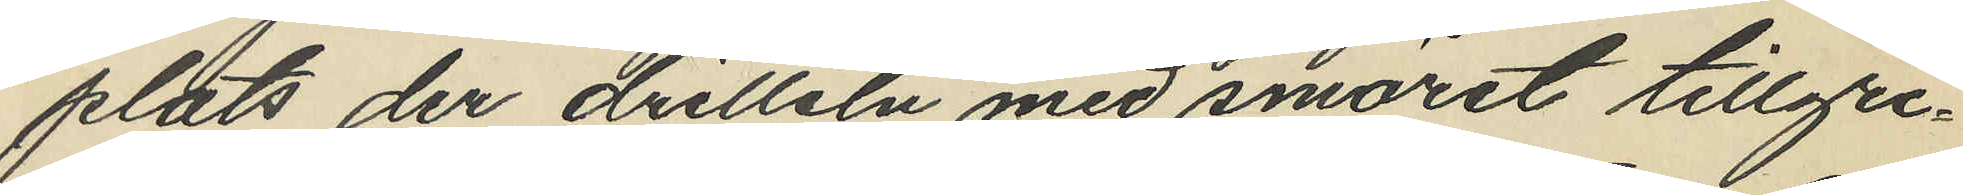plats der dritteln med smöret tillgri¬
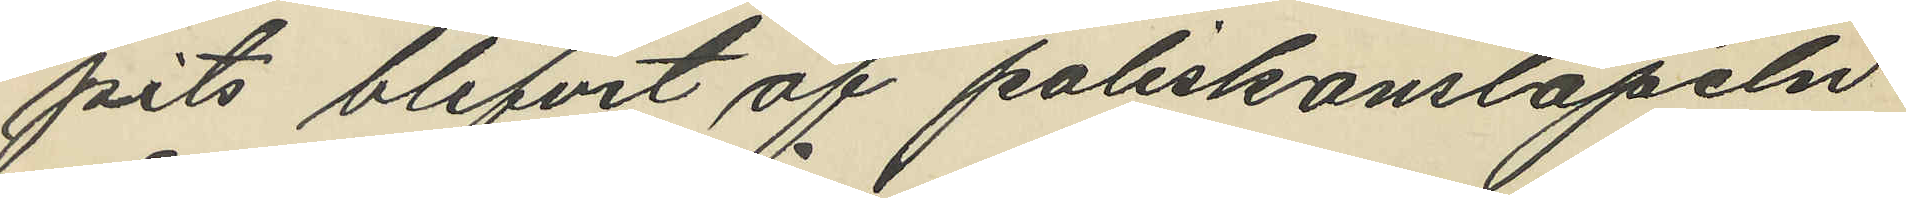pits blifvit af poliskonstapeln
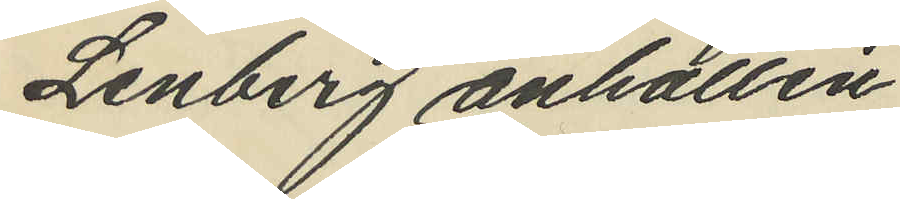Lenberg anhållen.
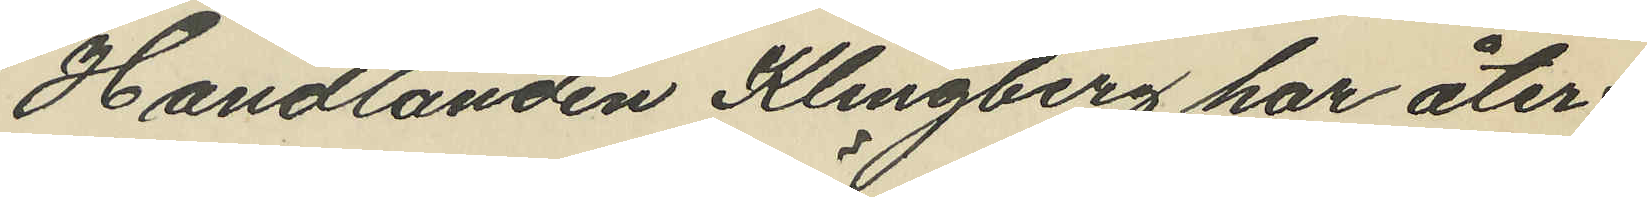Handlanden Klingberg har åter¬
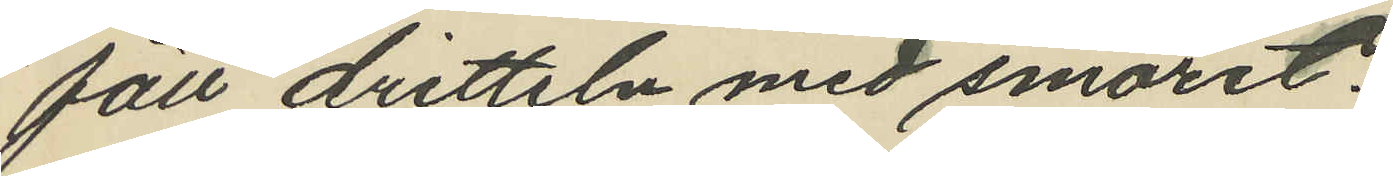fått dritteln med smöret.
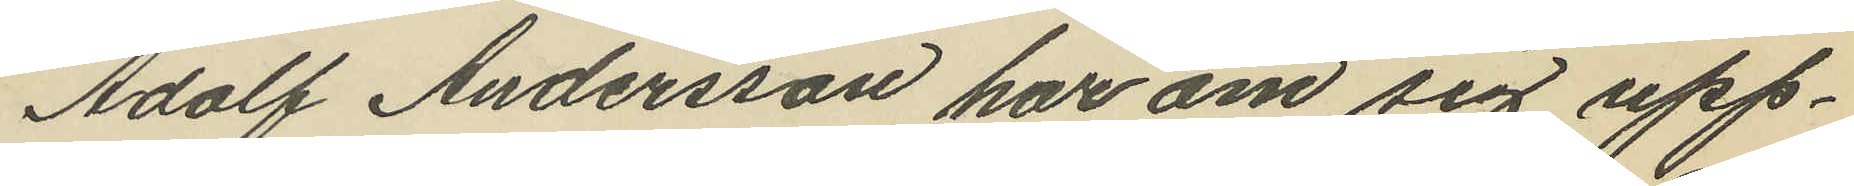Adolf Andersson har om sig upp¬
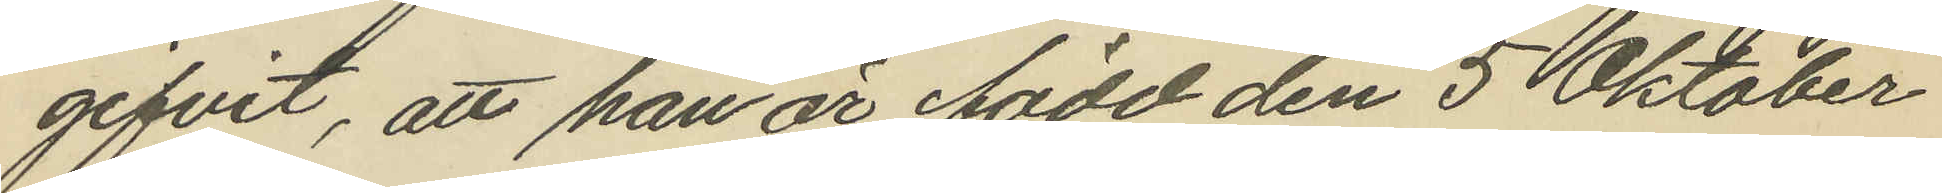gifvit, att han är född den 5 Oktober
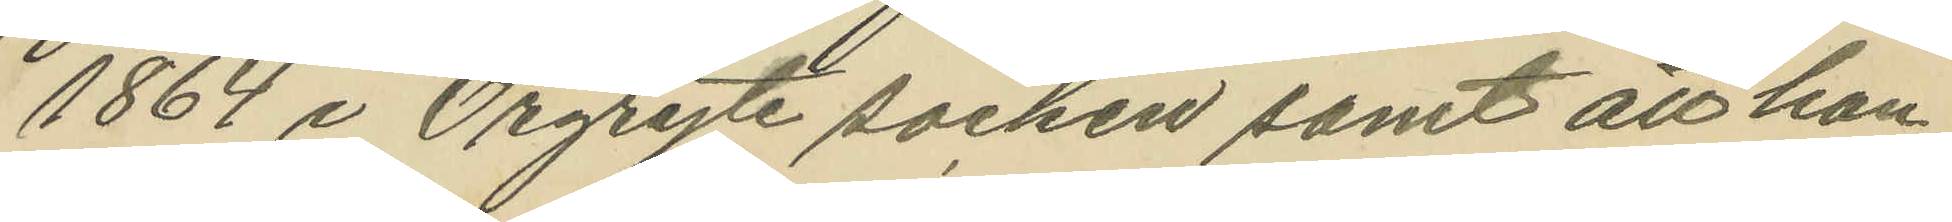1864 i Örgryte socken samt att han
